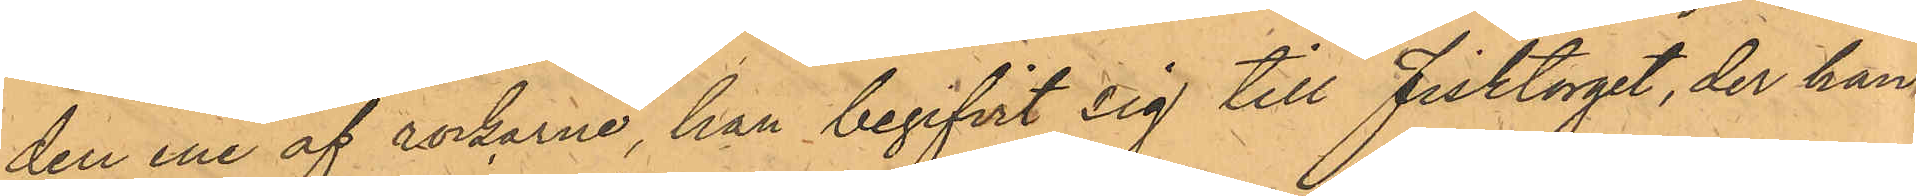den ene af rockarne, han begifvit sig till Fisktorget, der han
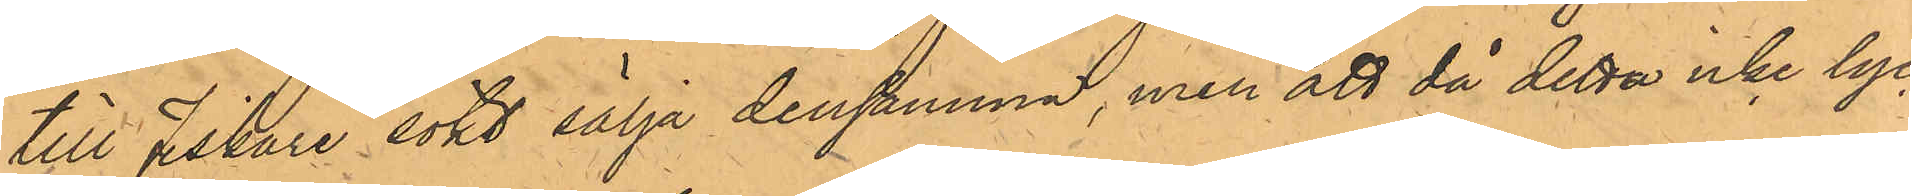till Fiskare sökt sälja densamma, men att då detta icke lyc¬
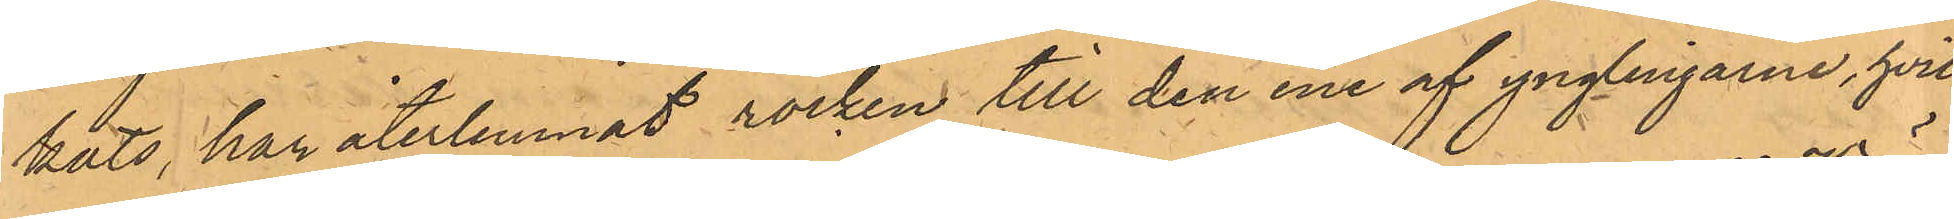kats, han återlemnat rocken till den ene af ynglingarne, hvil¬
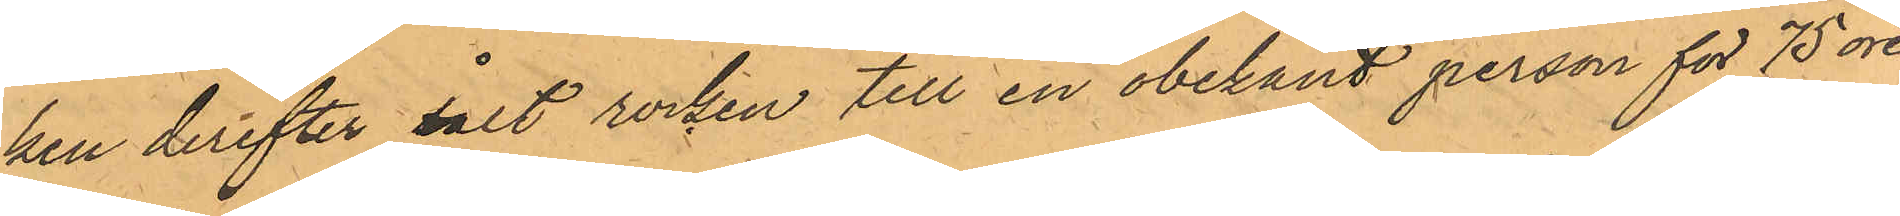ken derefter sålt rocken till en obekant person för 75 öre;
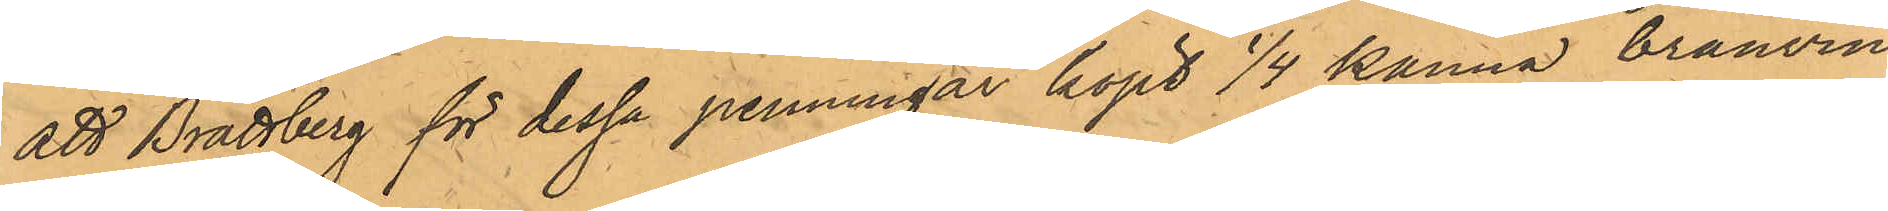att Brattberg för dessa penningar köpt 1/4 kanna bränvin,
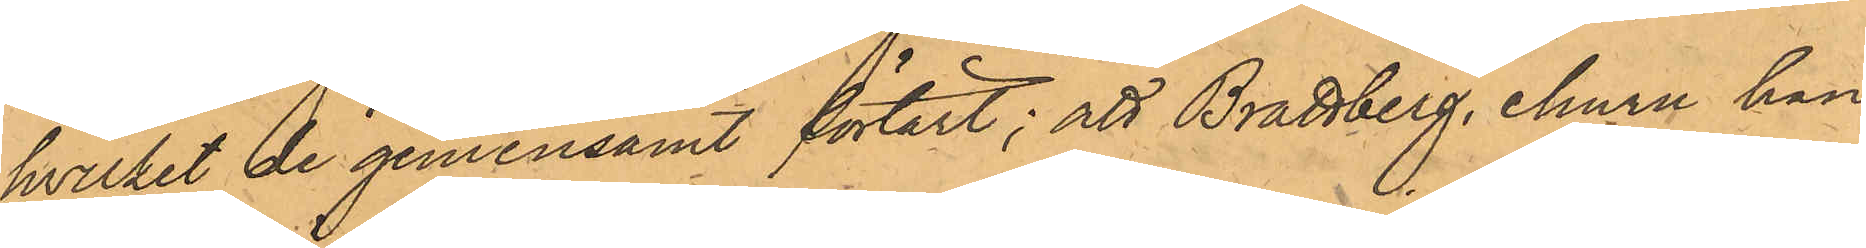hvilket de gemensamt förtärt; att Brattberg, ehuru han
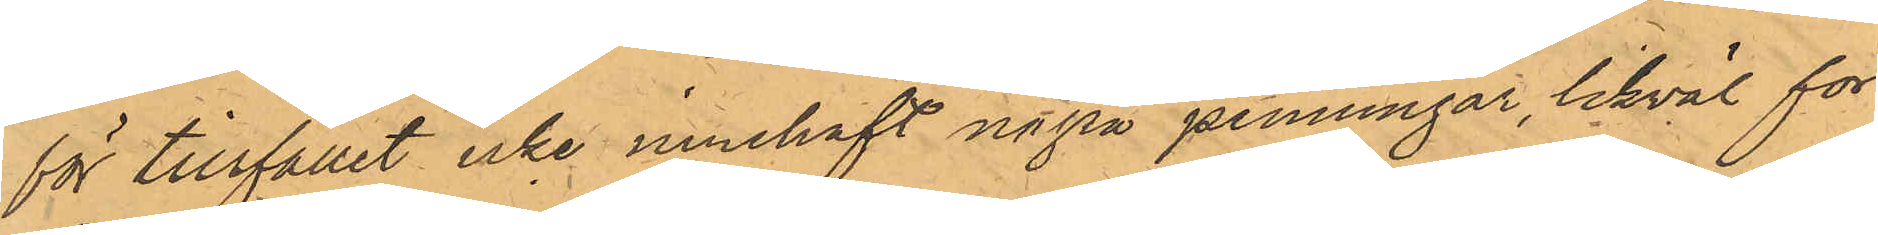för tillfället icke innehaft några penningar, likväl för
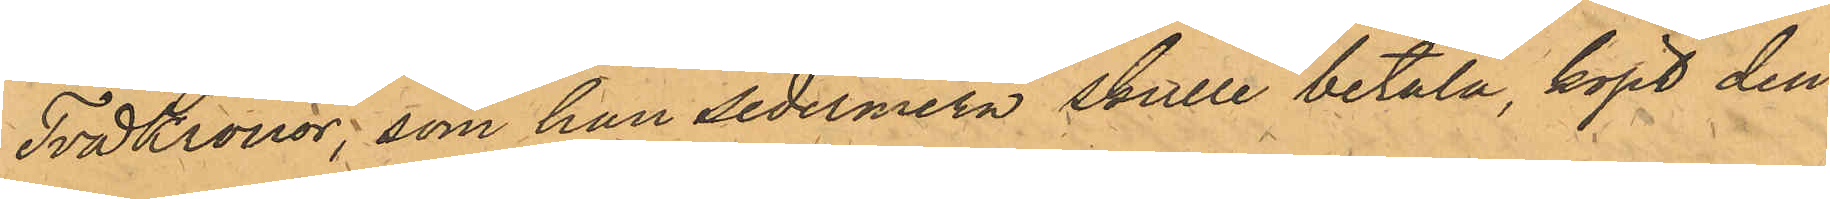Två Kronor, som han sedermera skulle betala, köpt den
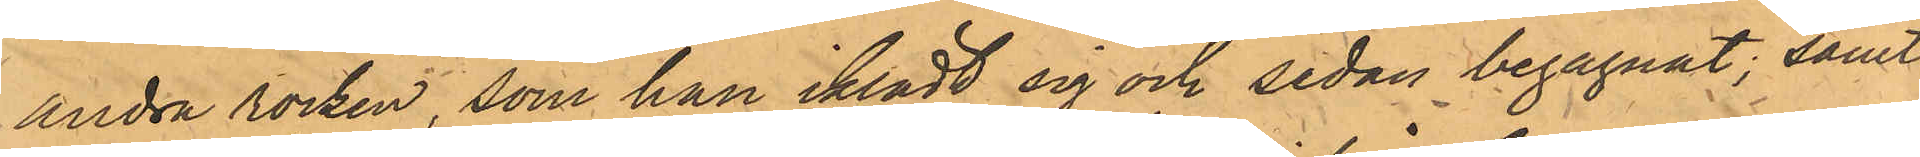andra rocken, som han iklädt sig och sedan begagnat; samt
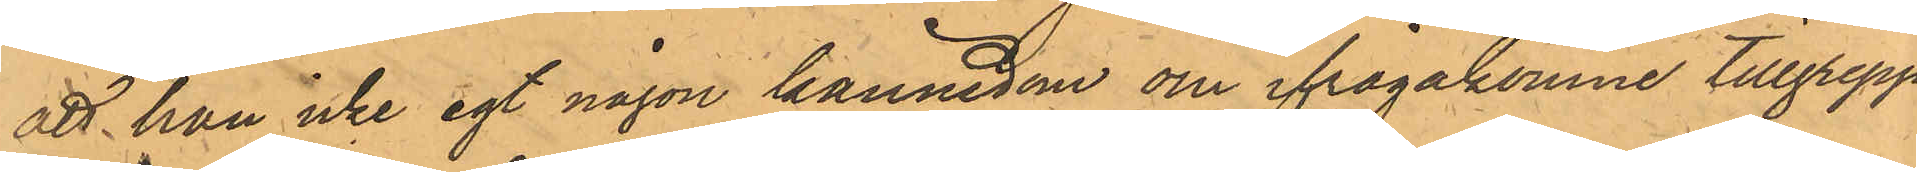att han icke egt någon kännedom om ifrågakomne tillgrepp
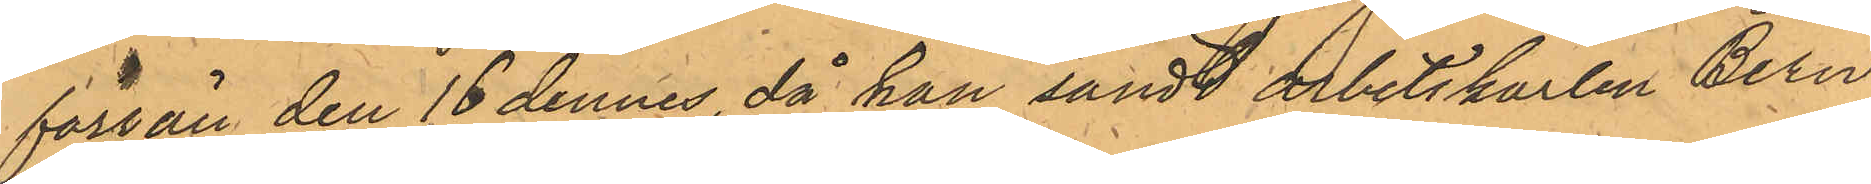förrän den 16 dennes, då han sändt arbetskarlen Bern¬
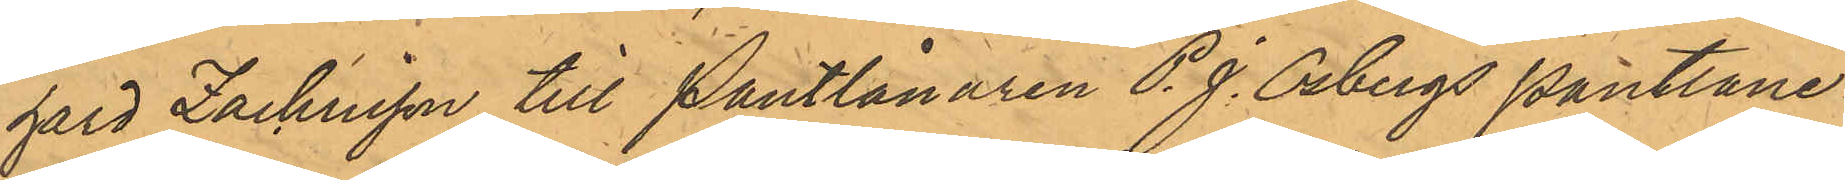hard Zachrisson till Pantlånaren P. J. Osbergs Pantlåne¬
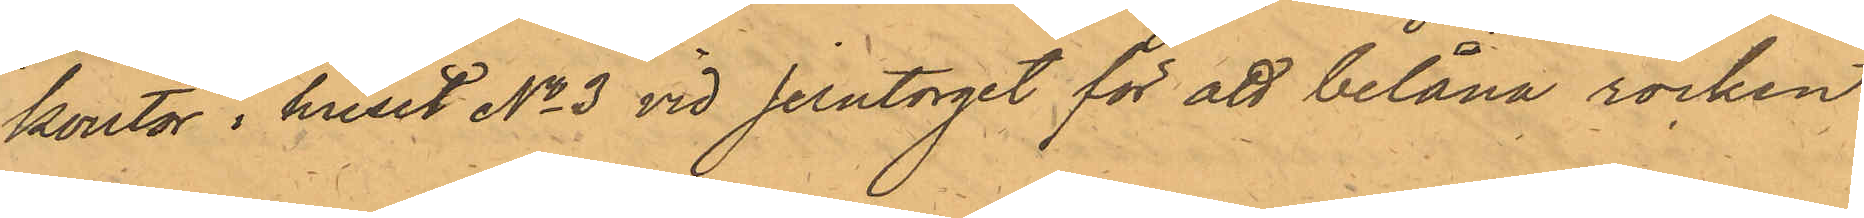kontor i huset No 3 vid Jerntorget för att belåna rocken
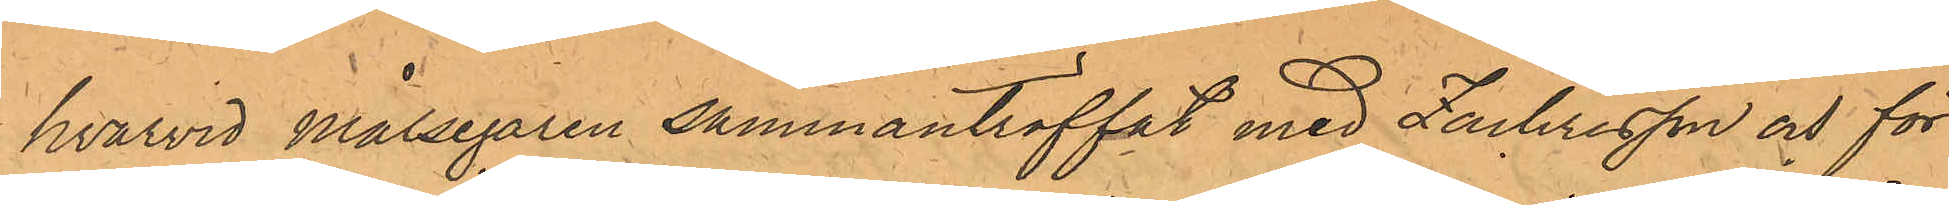hvarvid Målsegaren sammanträffat med Zachrisson och för
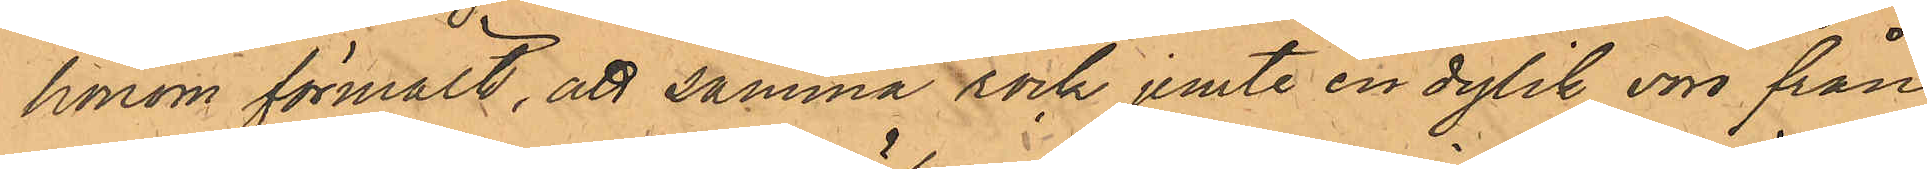honom förmält, att samma rock jemte en dylik voro från
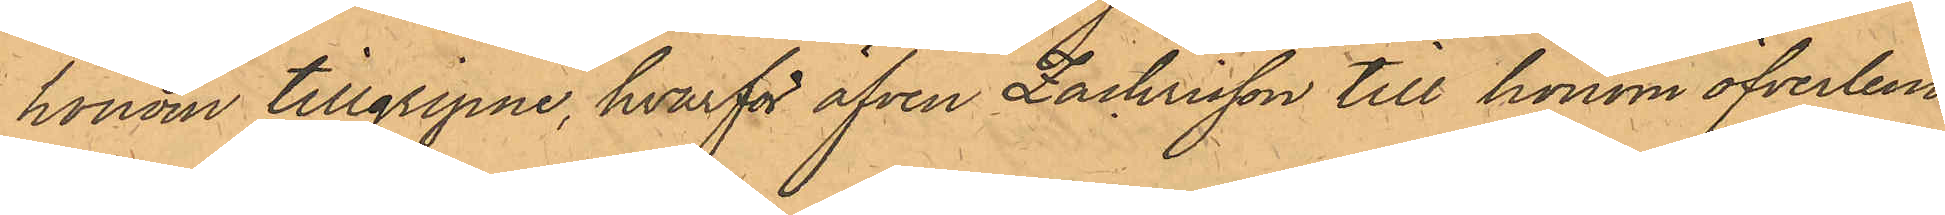honom tillgripne, hvarför äfven Zachrisson till honom öfverlem¬
